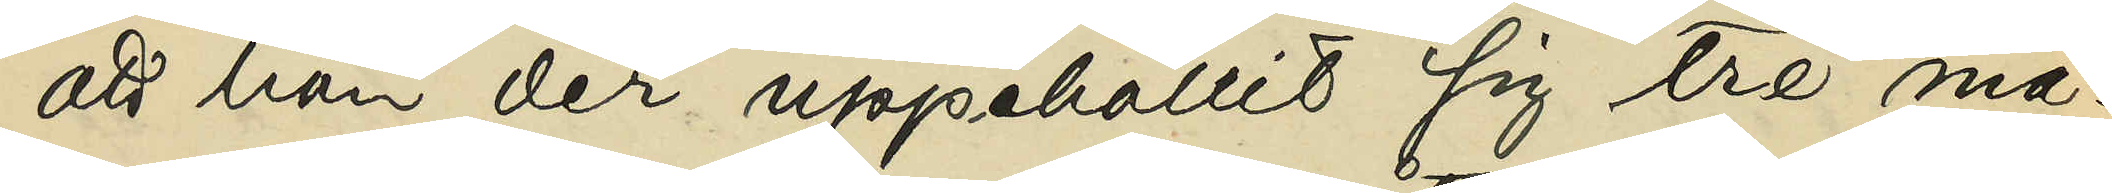att han der uppehållit sig tre må¬
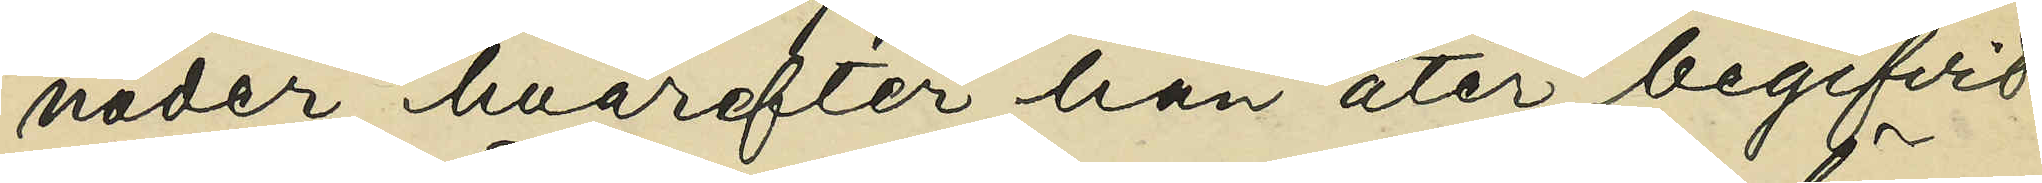nader, hvarefter han åter begifvit
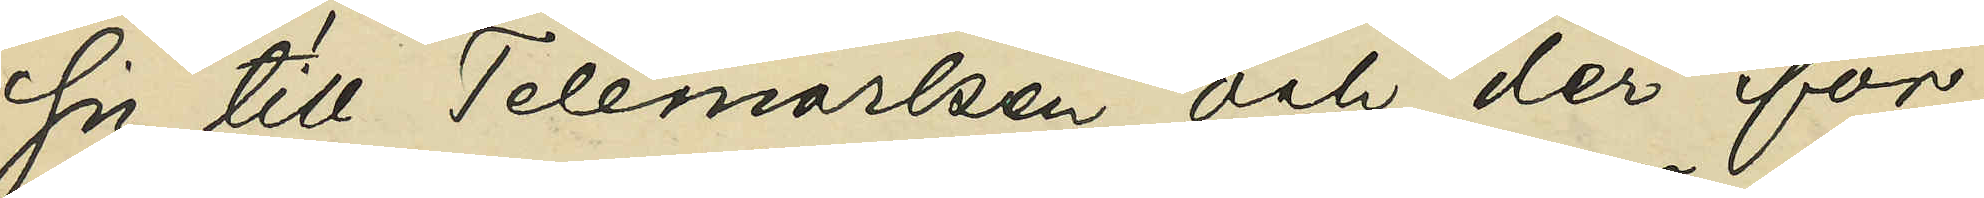sig till Telemarken och der för¬
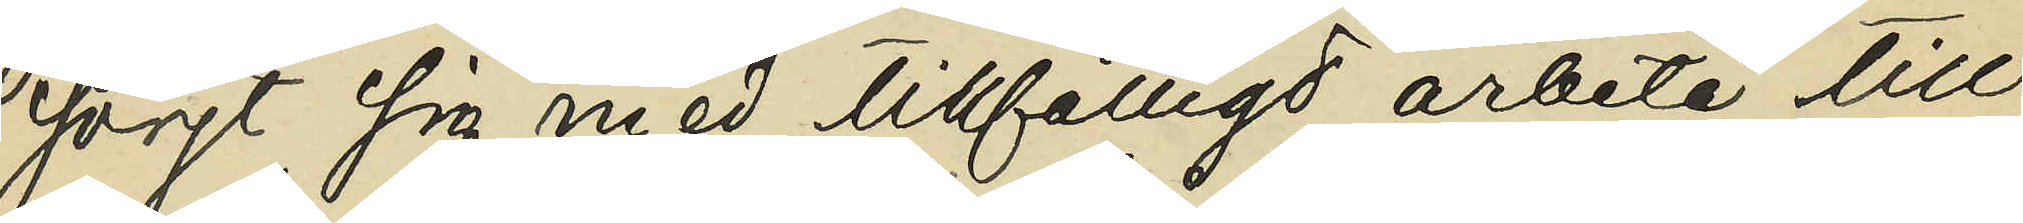sörjt sig med tillfälligt arbete till
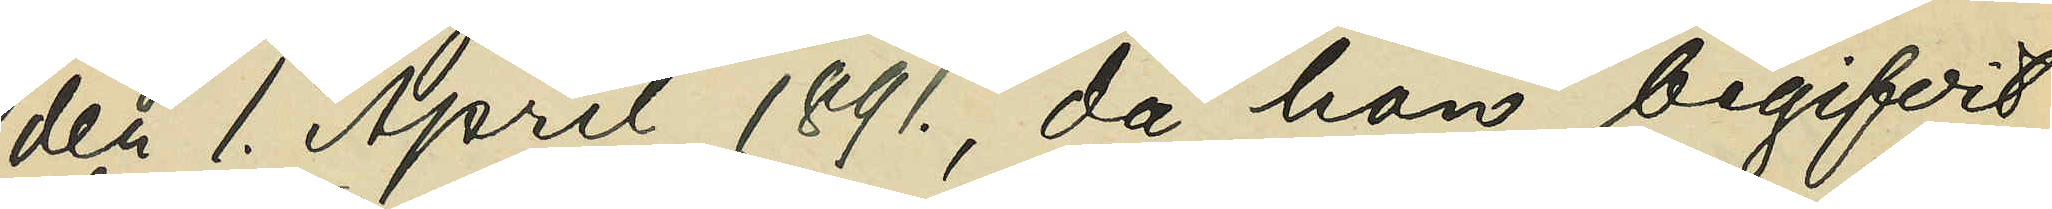den 1. April 1891., då han begifvit
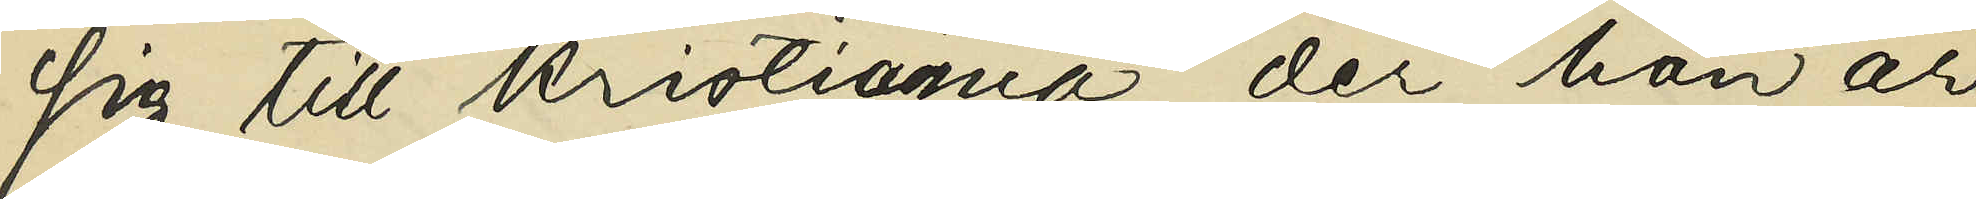sig till Kristiania, der han ar¬
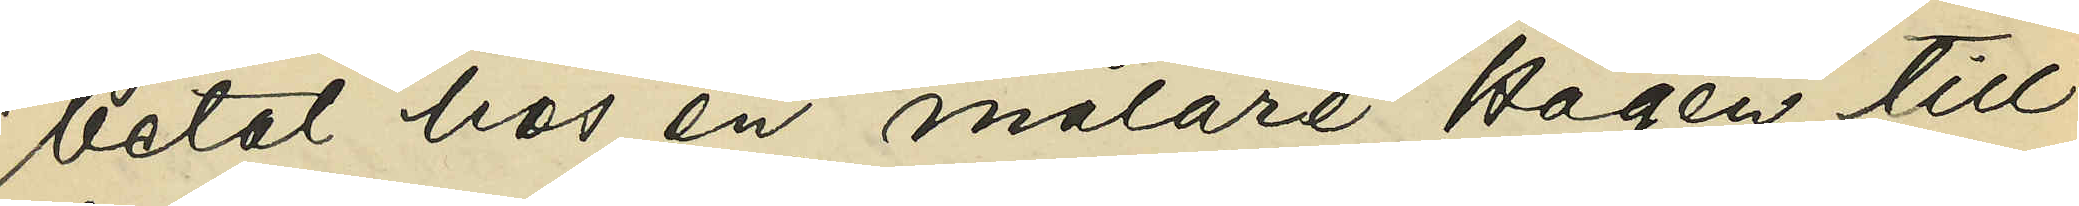betat hos en målare Hagen till 
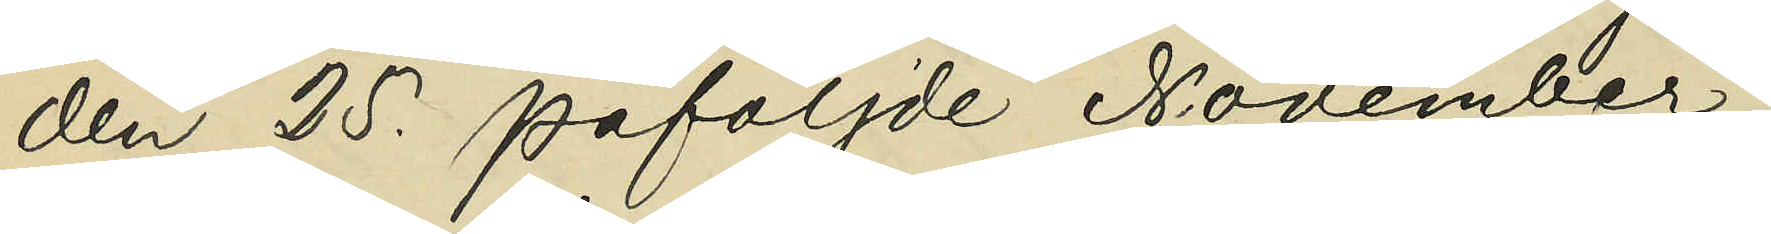den 25. påföljde November;
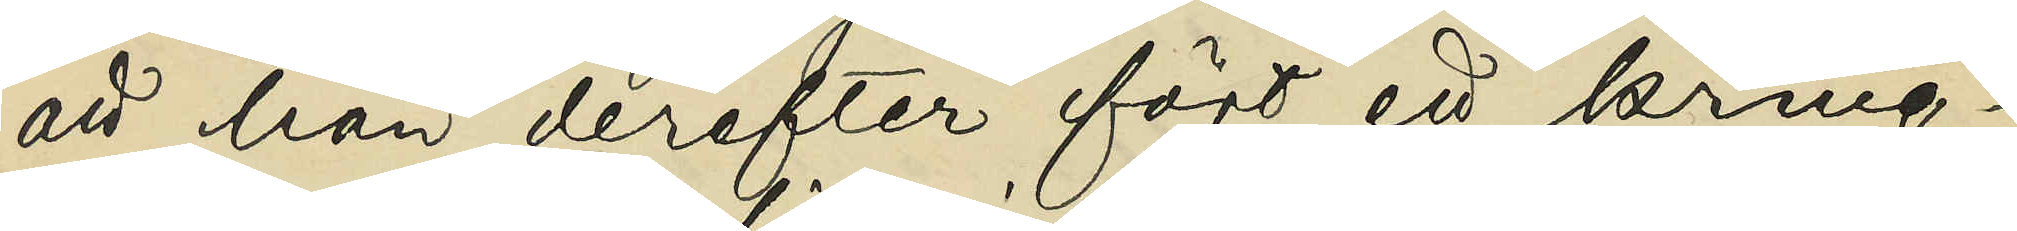att han derefter fört ett kring¬
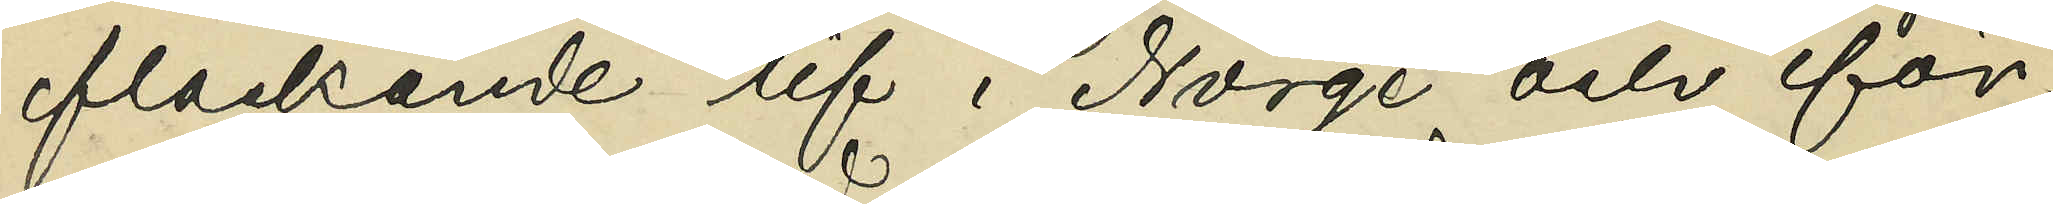flackande lif i Norge och för¬
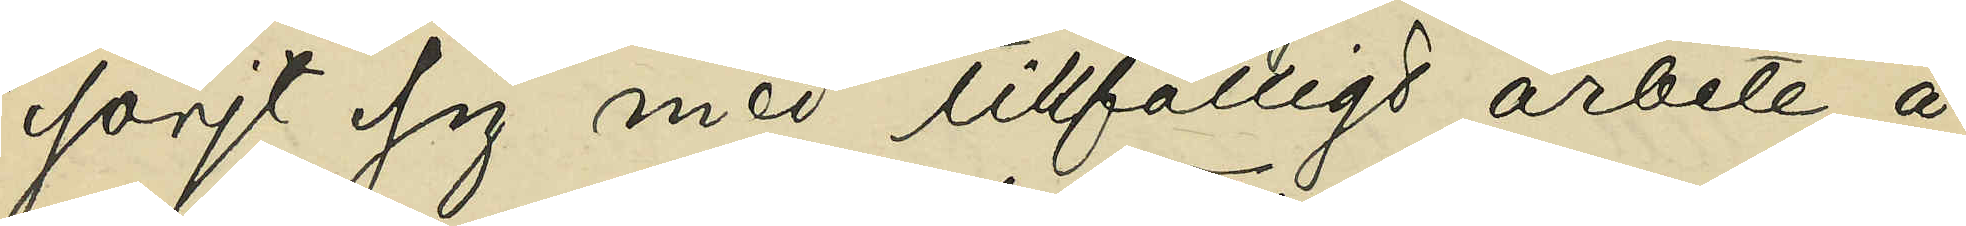sörjt sig med tillfälligt arbete å
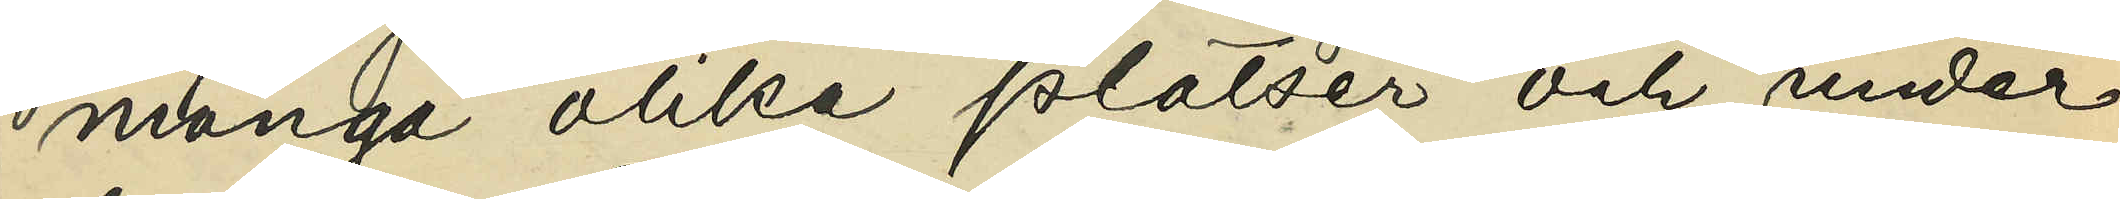många olika platser och under
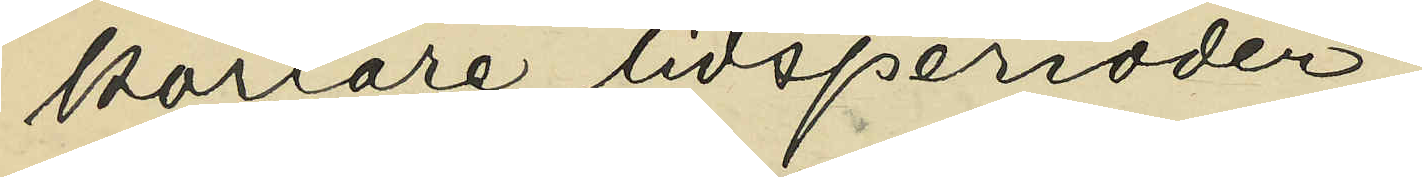kortare tidsperioder;
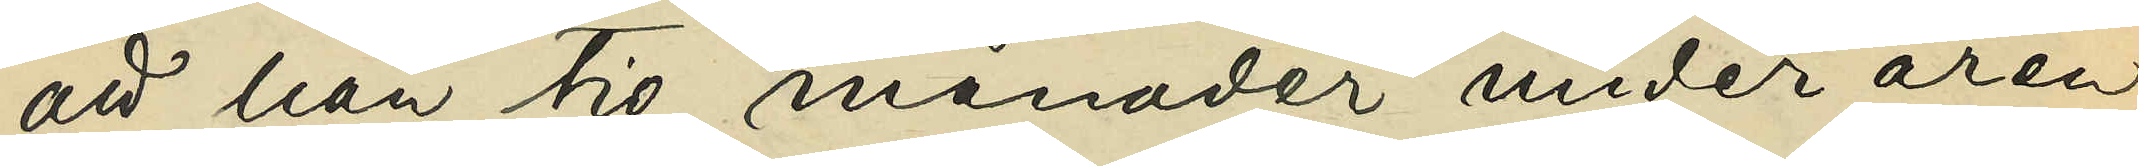att han tio månader under åren
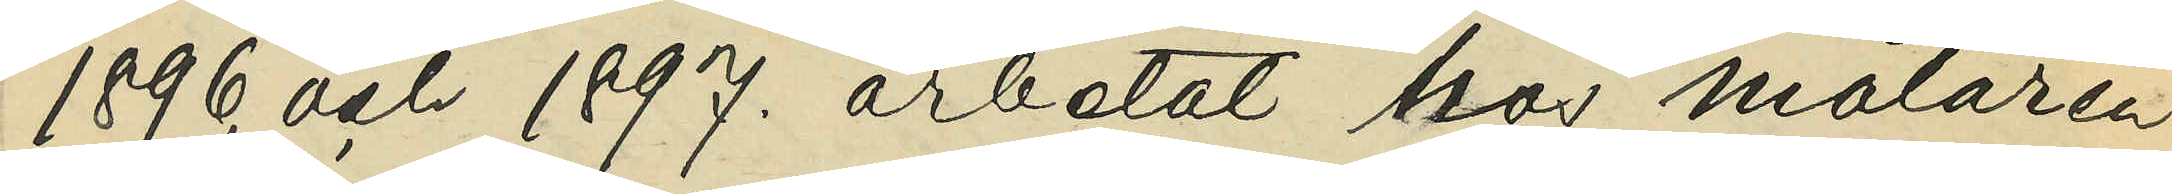1896. och 1897. arbetat hos målaren
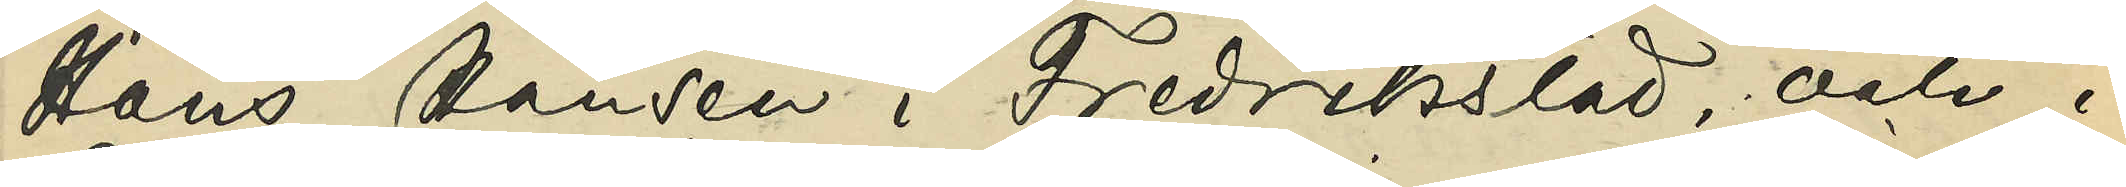Hans Hansen i Fredrikstad, och i
